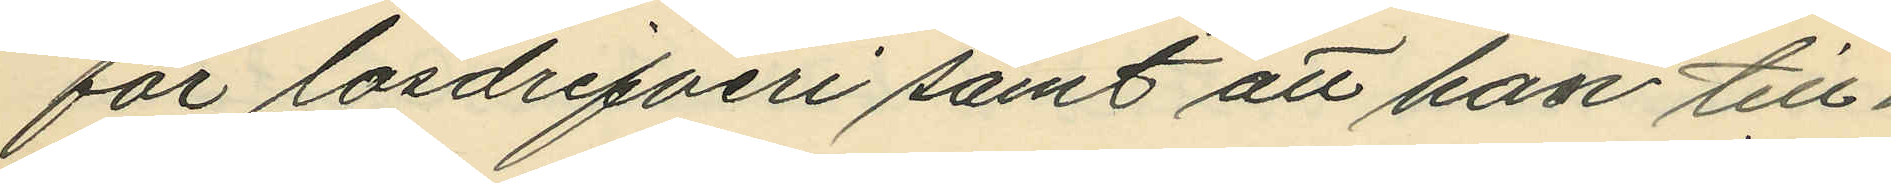för lösdrifveri samt att han till¬
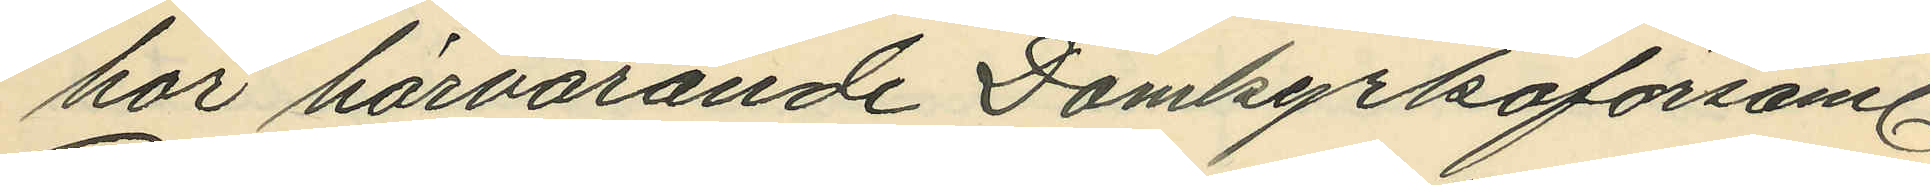hör härvarande Domkyrkoförsaml.
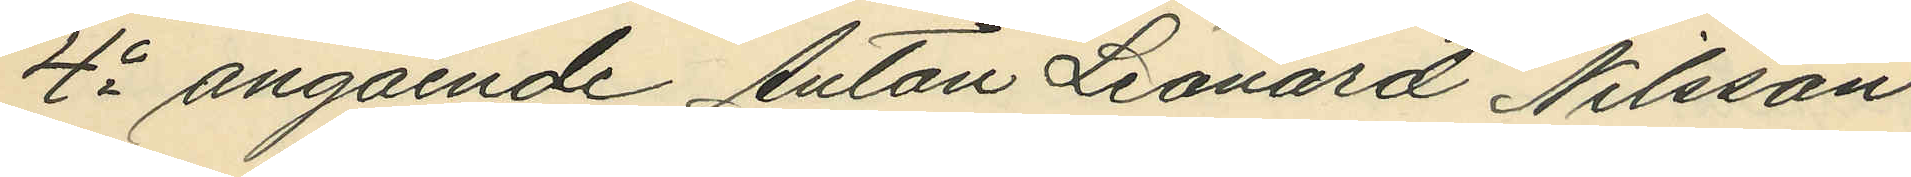4o angående Anton Leonard Nilsson:
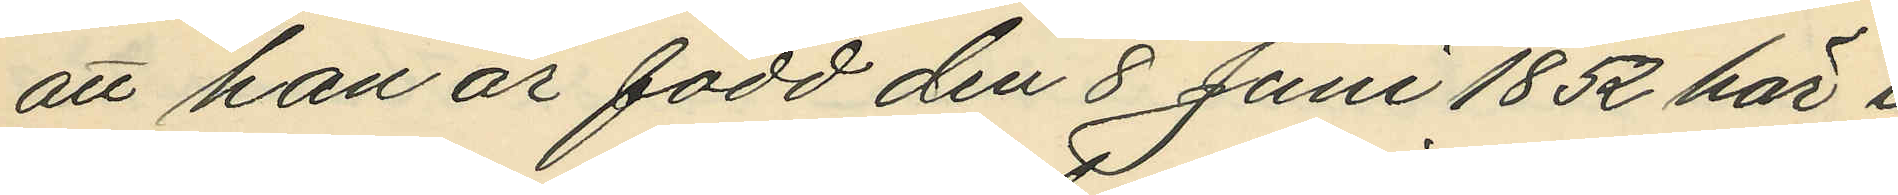att han är född den 8 Juni 1852 här i
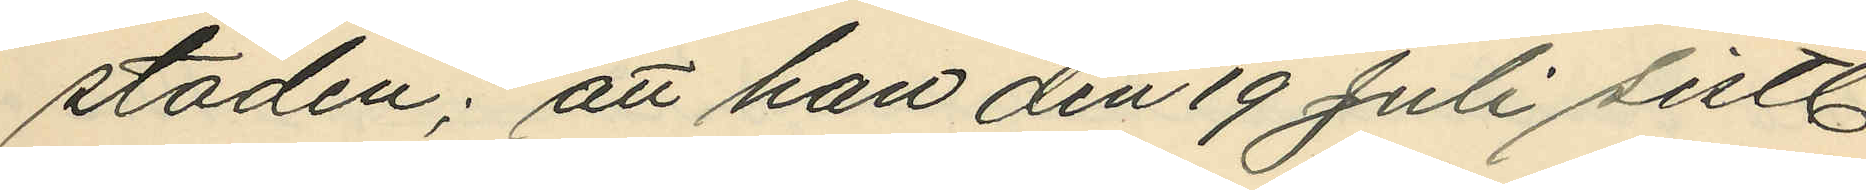staden; att han den 19 Juli sistl.
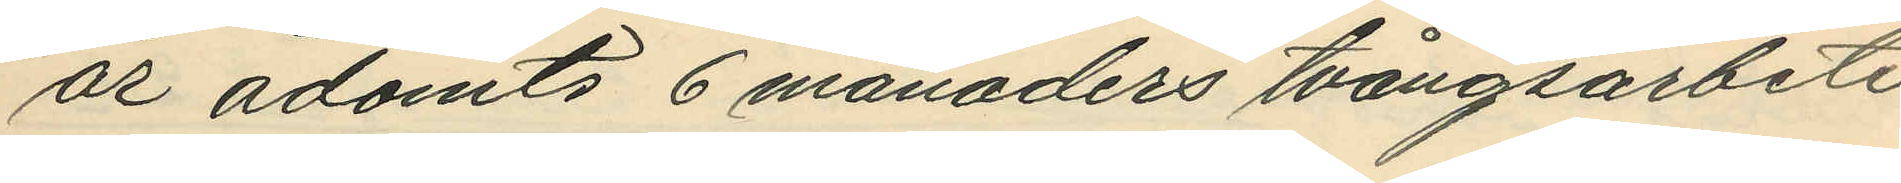år ådömts 6 månaders tvångsarbete
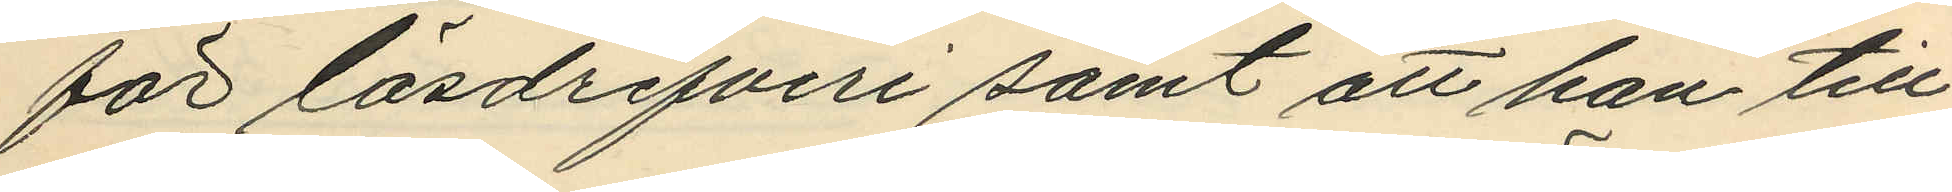för lösdrifveri samt att han till¬
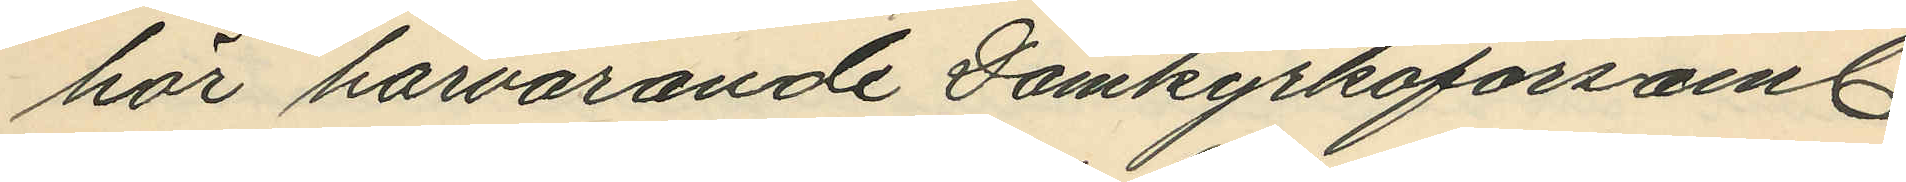har härvarande Domkyrkoförsaml.
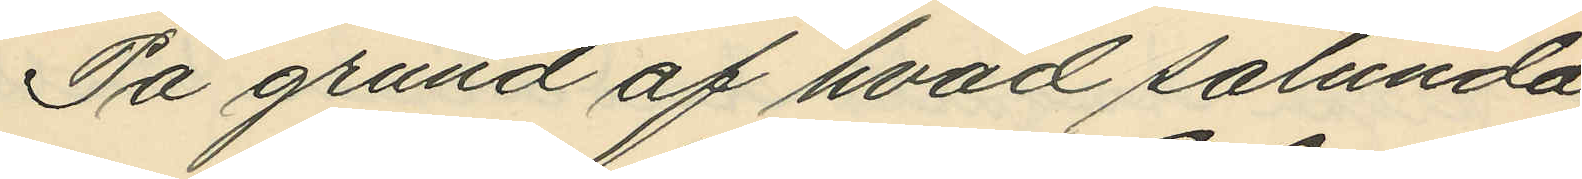På grund af hvad sålunda
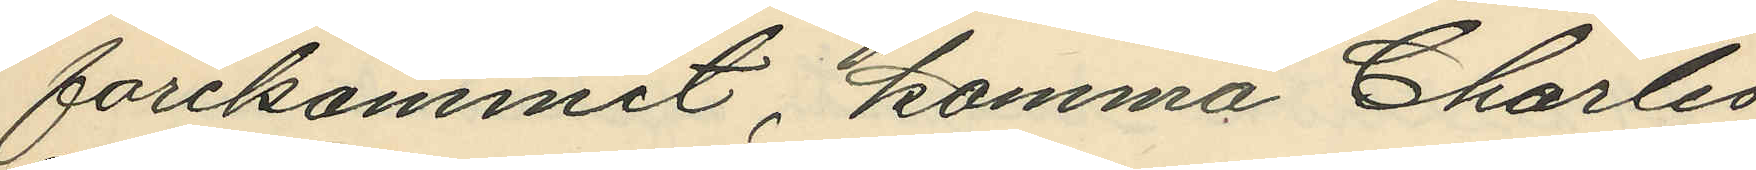förekommit, komma Charles
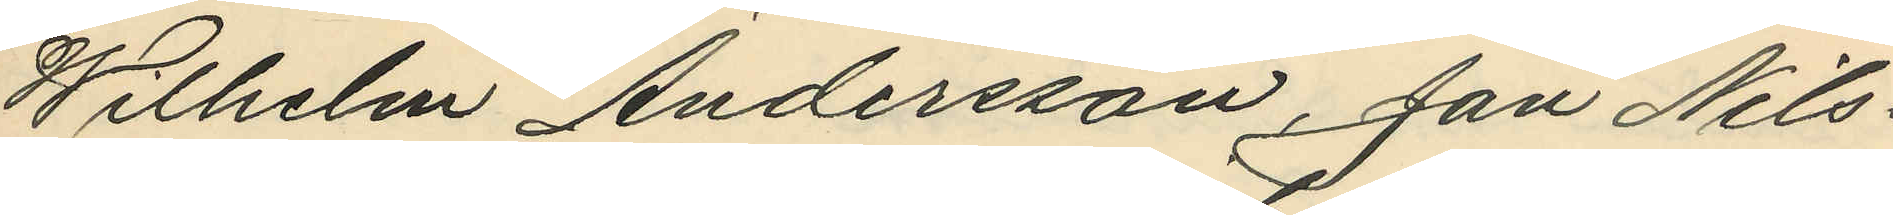Wilhelm Andersson, Jan Nils¬
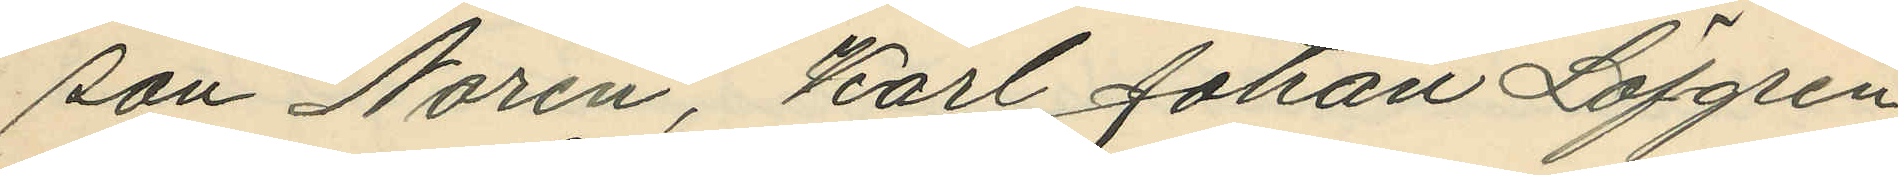son Norén, Karl Johan Löfgren,
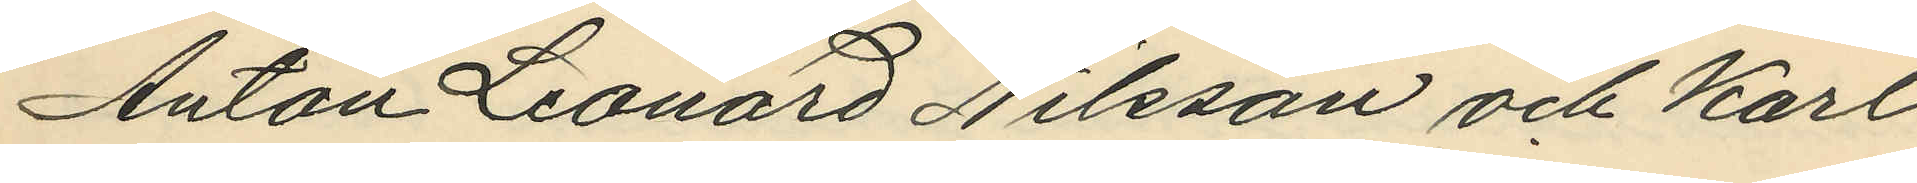Anton Leonard Nilsson och Karl
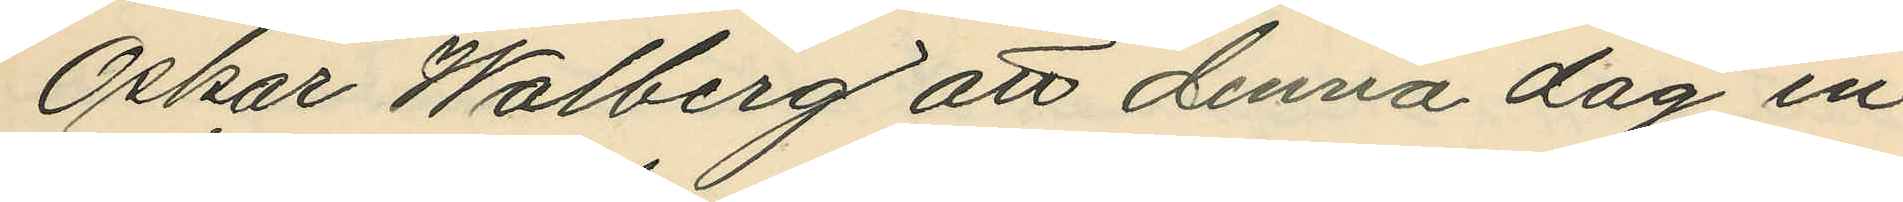Oskar Walberg att denna dag in¬
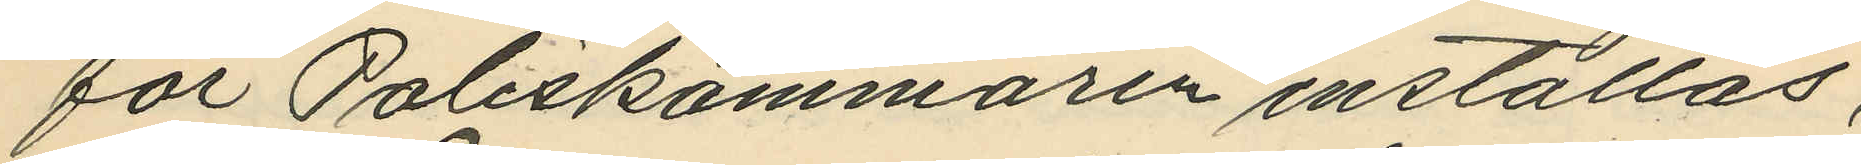för Poliskammaren inställas,
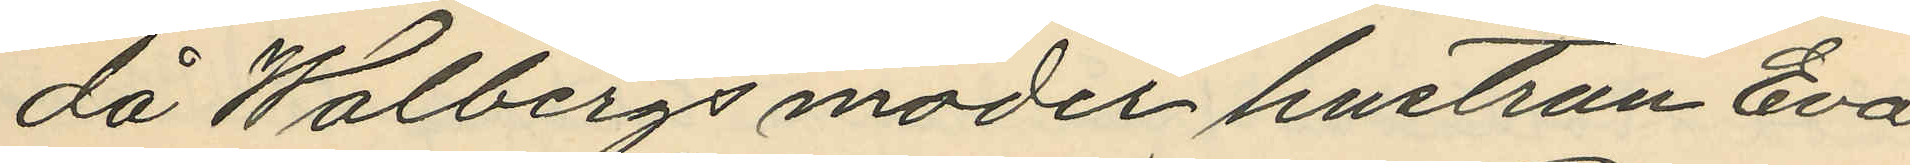då Walbergs moder hustrun Eva
